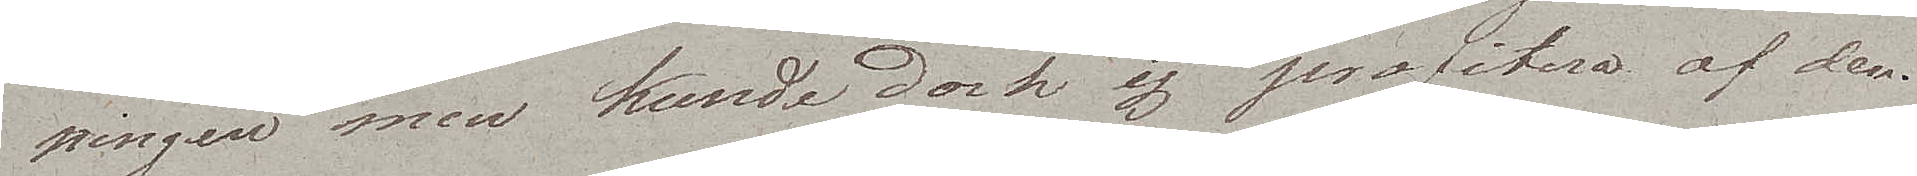ningen men kunde dock ej profitera af den.
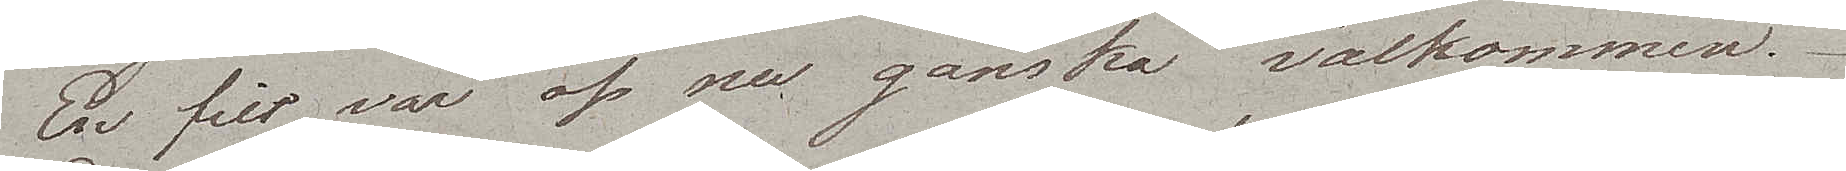En filt var oss nu ganska välkommen.
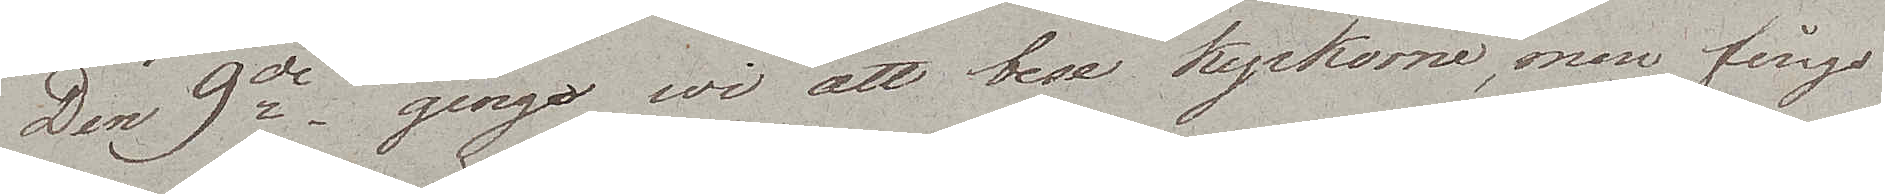Den 9de gingo wi att bese kyrkorna, men fingo
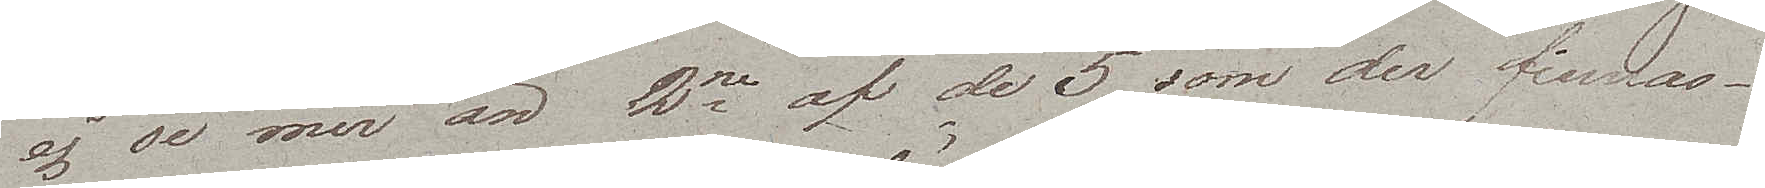ej se mer än 2ne af de 5 som der finnas.
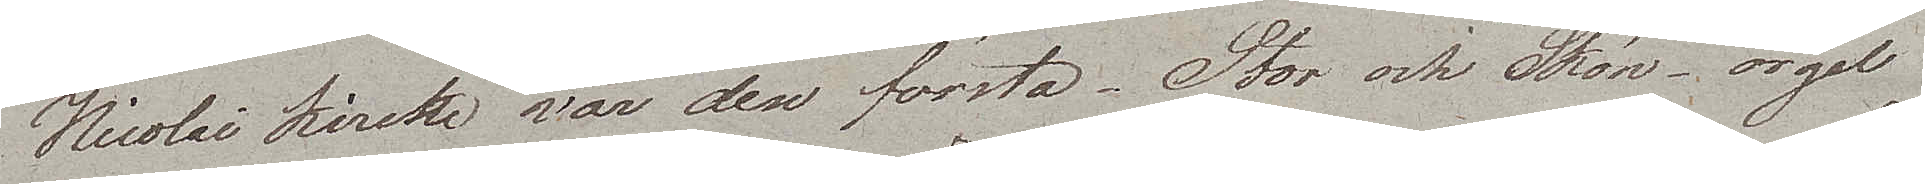Nicolai Kirche var den första. Stor och Skön, orgel¬
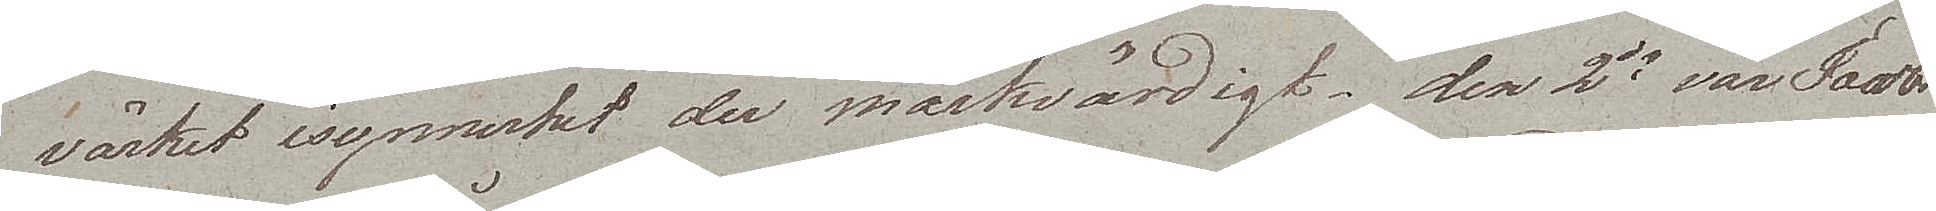värket i synnerhet der märkvärdigt,  den 2de var Jacobi
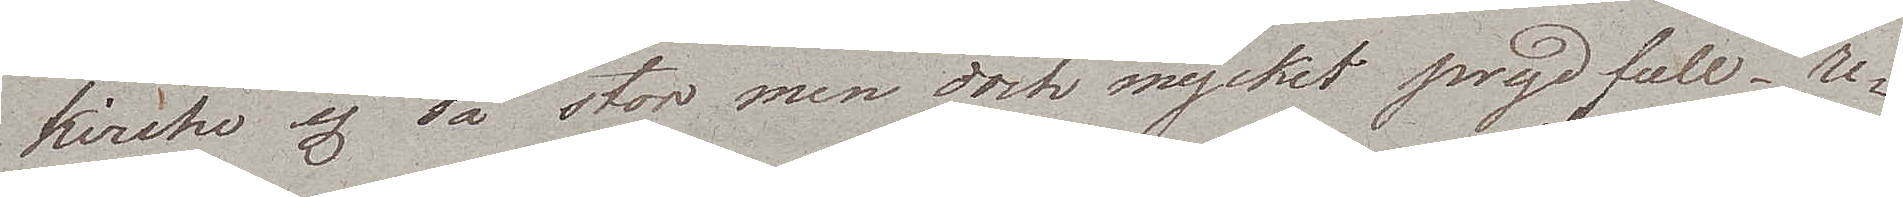Kirche, ej så stor men dock mycket prydfull, re¬
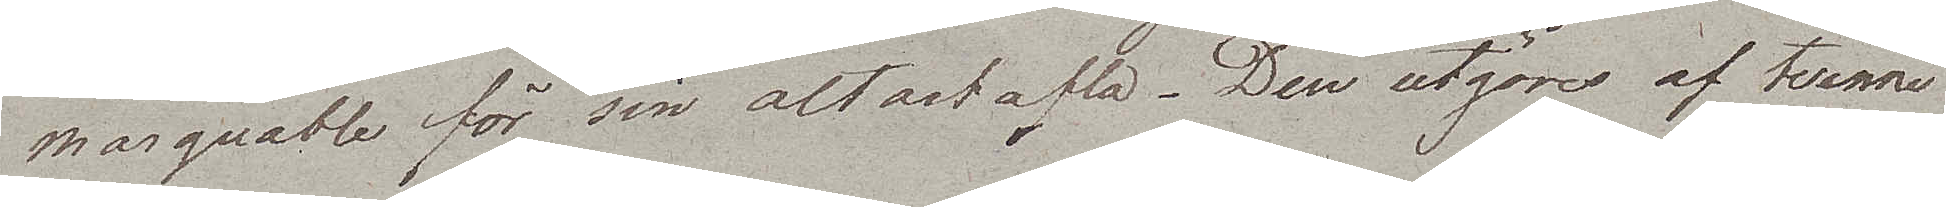marquable för sin altartafla. Den utgöres af tvenne
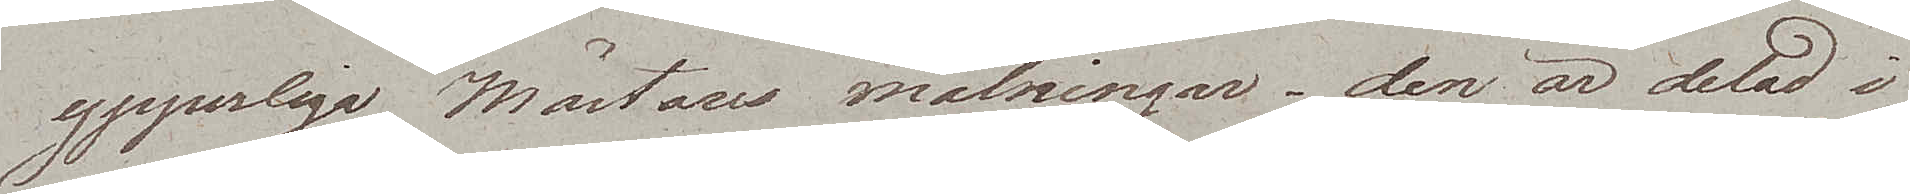ypperliga Mästares målningar – den är delad i
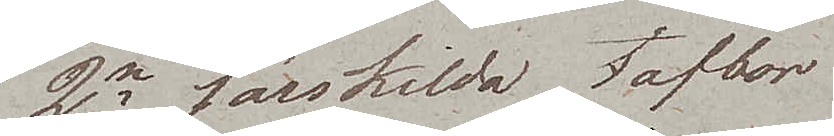2ne särskilda taflor.
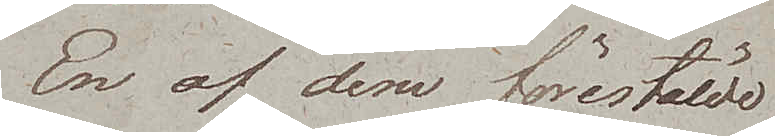En af dem förestälde
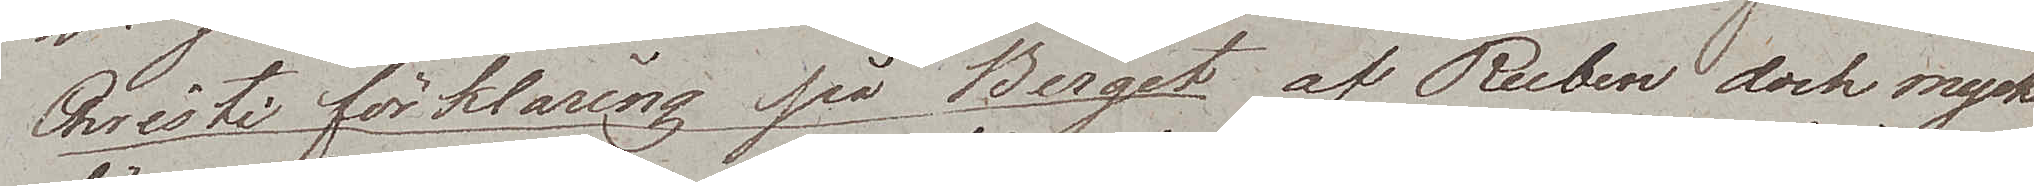Christi förklaring på Berget af Ruben dock mycket
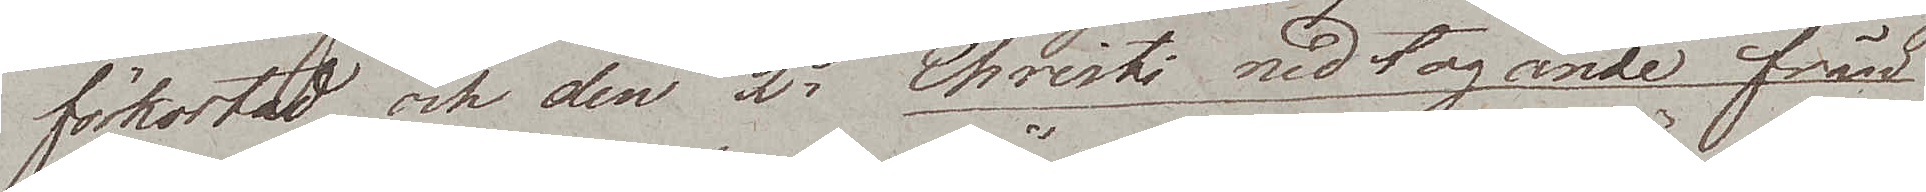förkortad och den 2e Christi nedtagande från
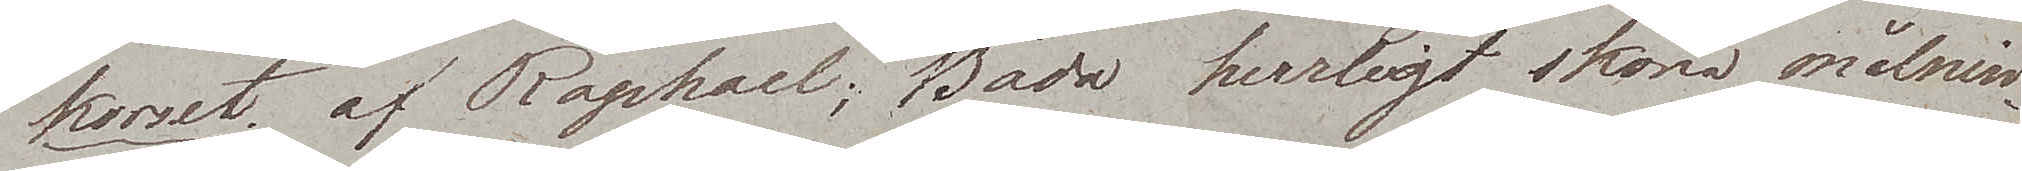korset av Raphael; Båda herrligt sköna målnin¬
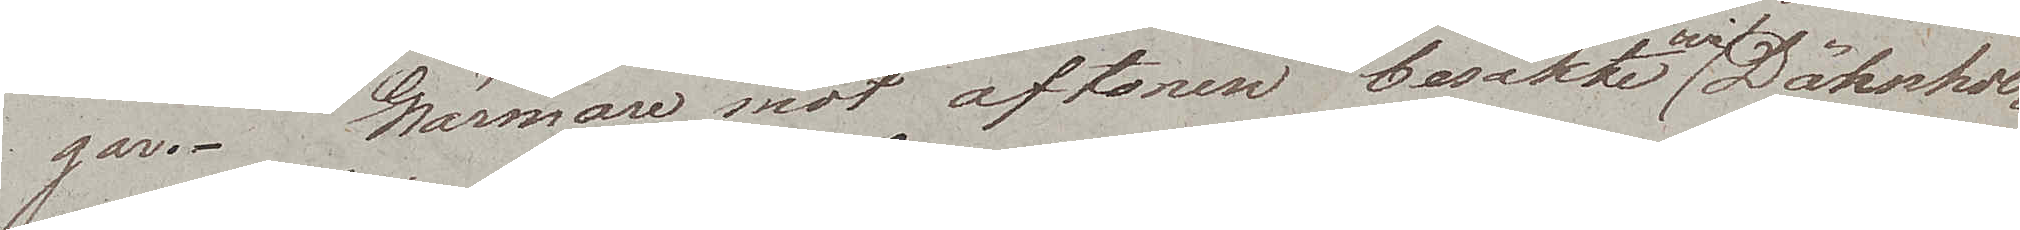gar. Närmare mot aftonen besökte wi Dähnhol¬
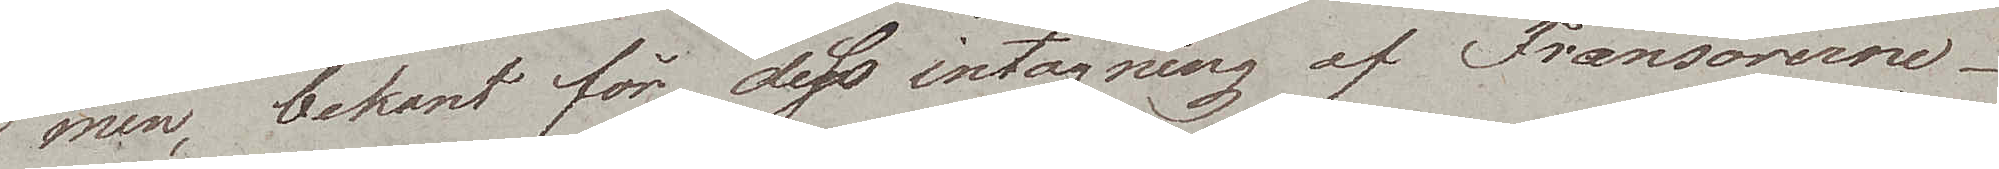men, bekant för dess intagning af Fransoserne.
